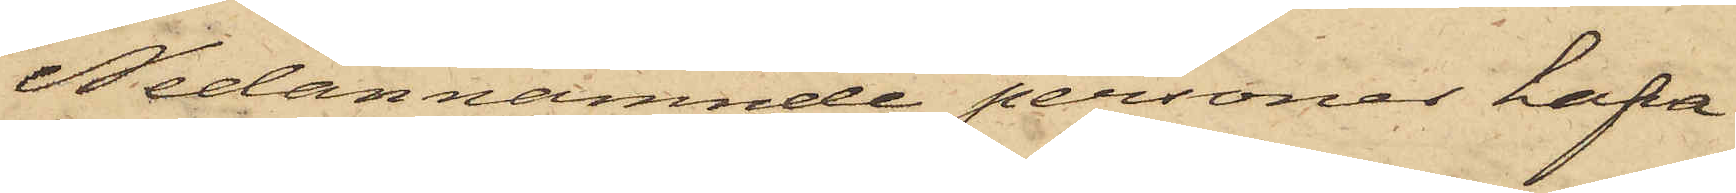Nedannämnde personer hafva
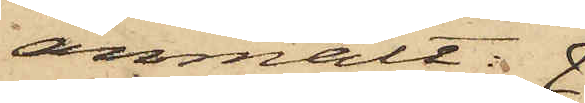anmält: 
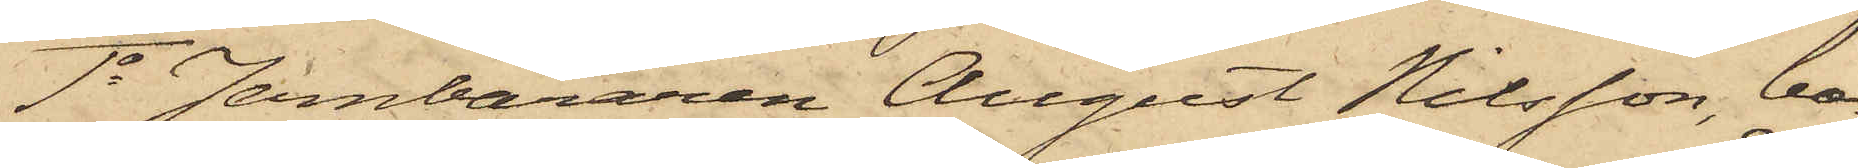1o Jernbäraren August Nilsson, bo¬
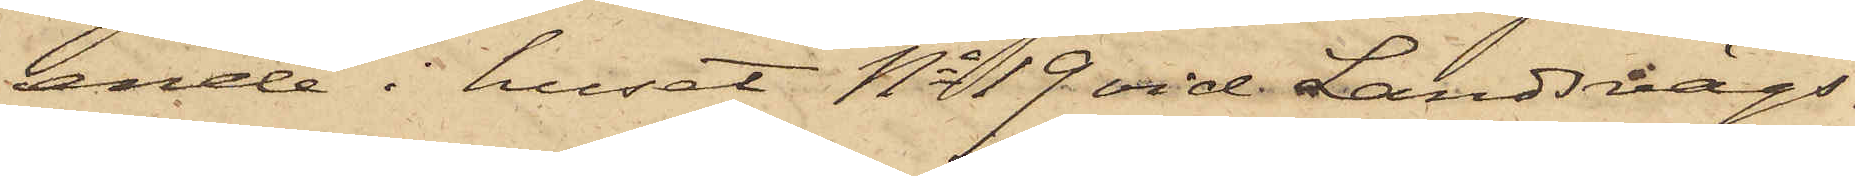ende i huset No 19 vid Landsvägs¬
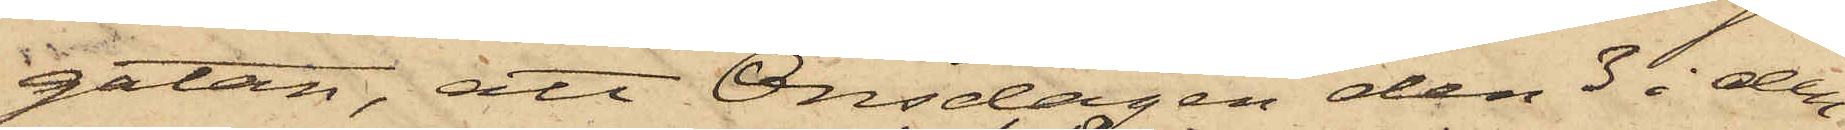gatan, att Onsdagen den 3 i den¬
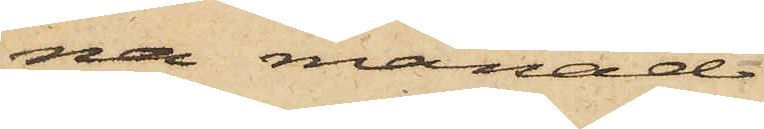na månad
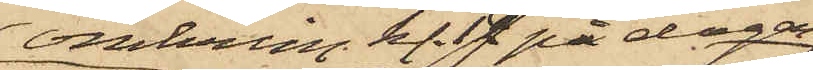omkring kl. 12 på dagen
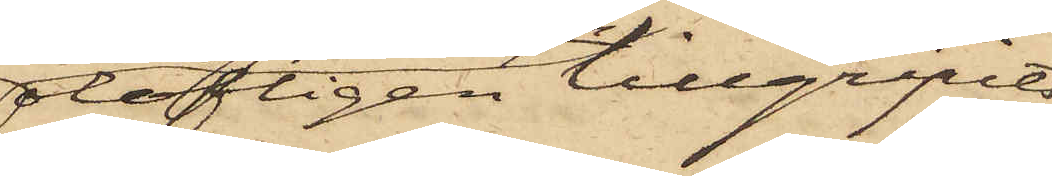olofligen tillgripits
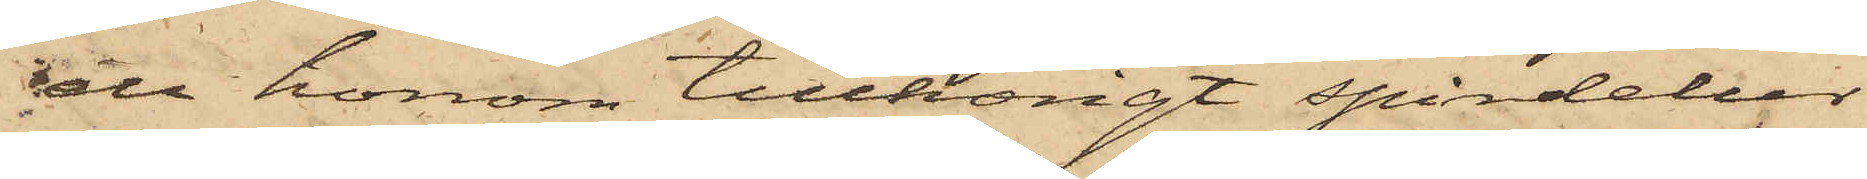ett honom tillhörigt spindelur
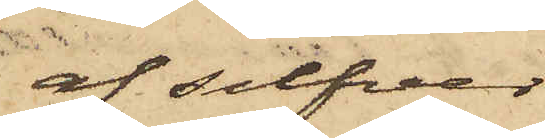af silfver
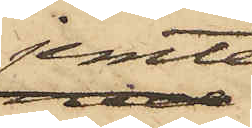jemte
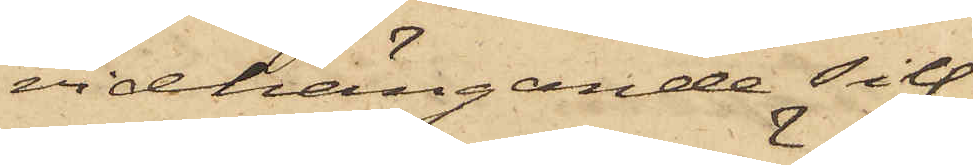vidhängande silf¬
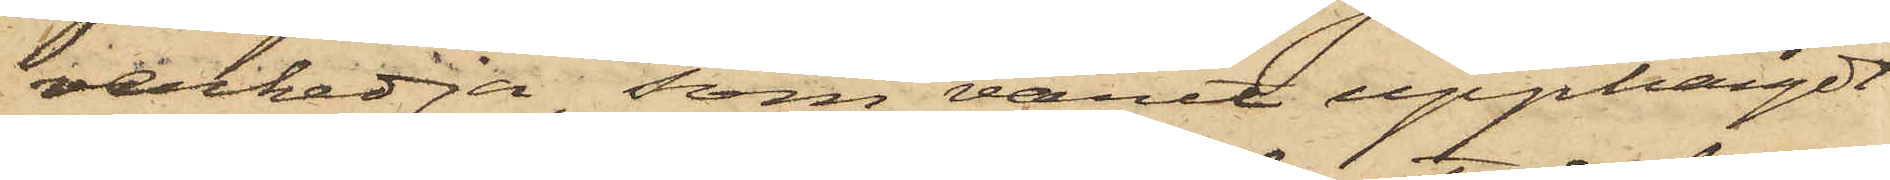verkedja, som varit upphängdt
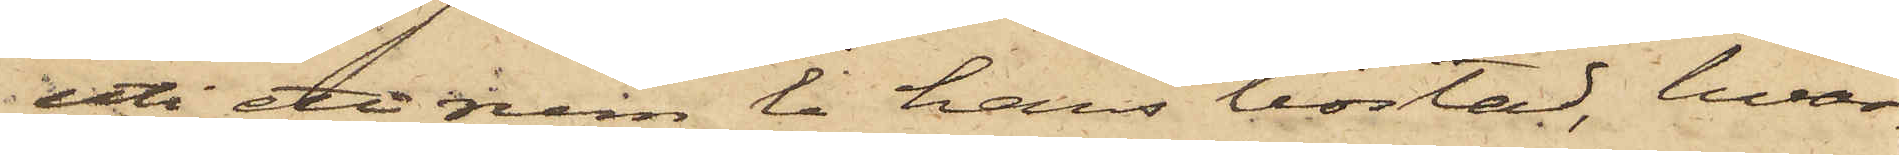uti ett rum i hans bostad, hvar¬
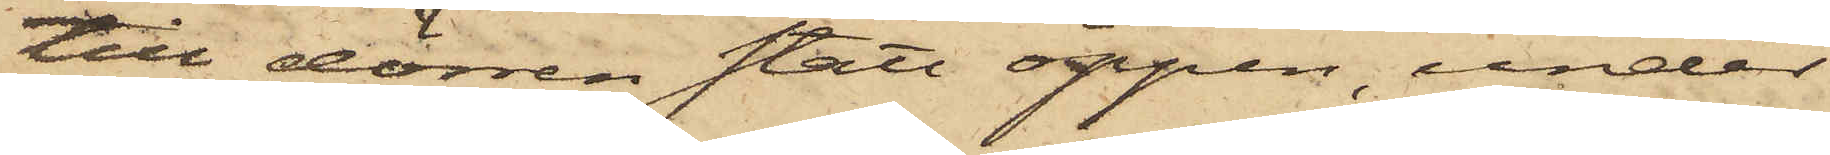till dörren stått öppen, under
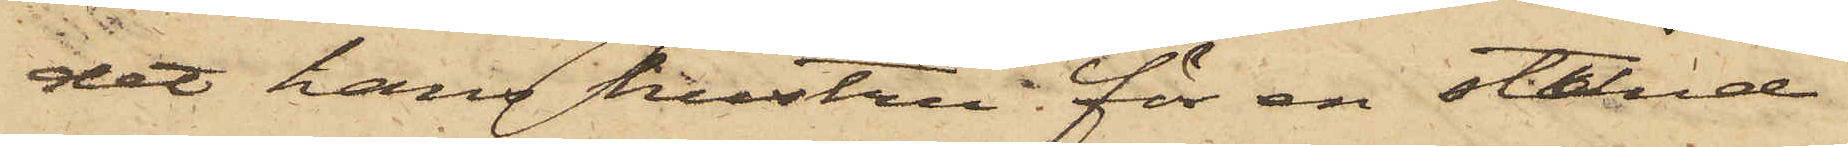det hans hustru för en stund
